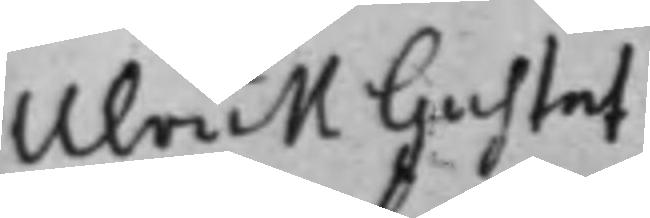Ulrick Gustaf
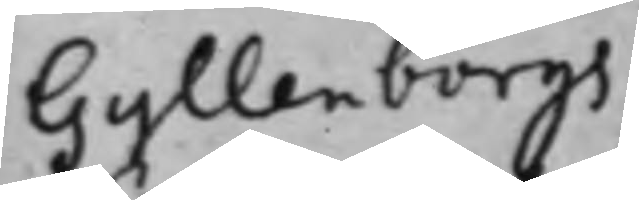Gyllenborgs
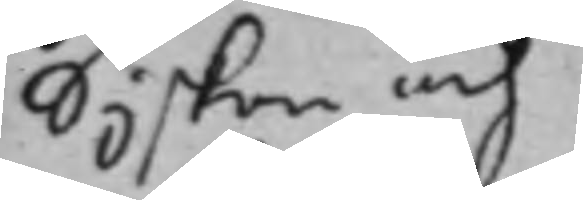syskon och
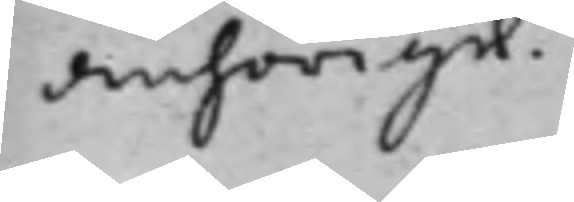anhörige
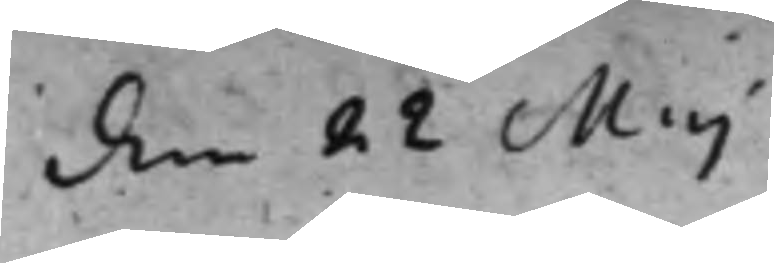den 22 Maj
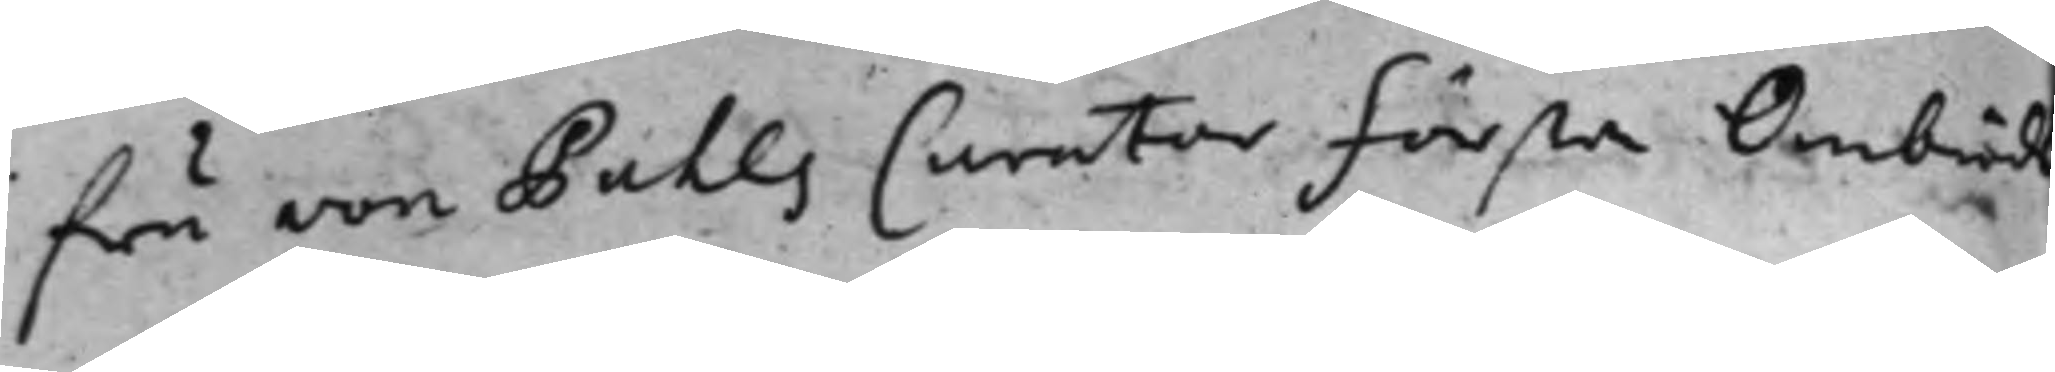fru von Pahls Curator förste Ombuds¬
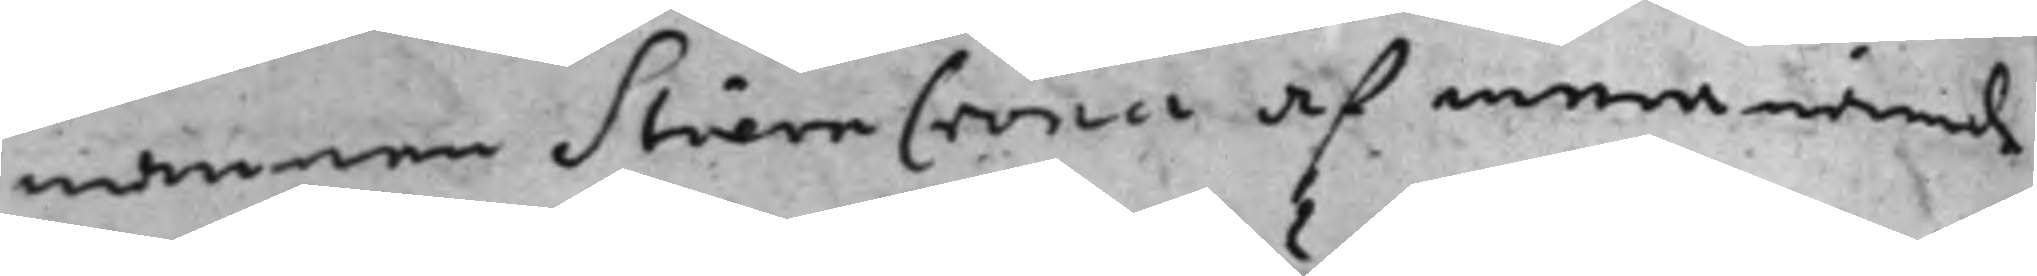mannen StiernCrona af mera nämde
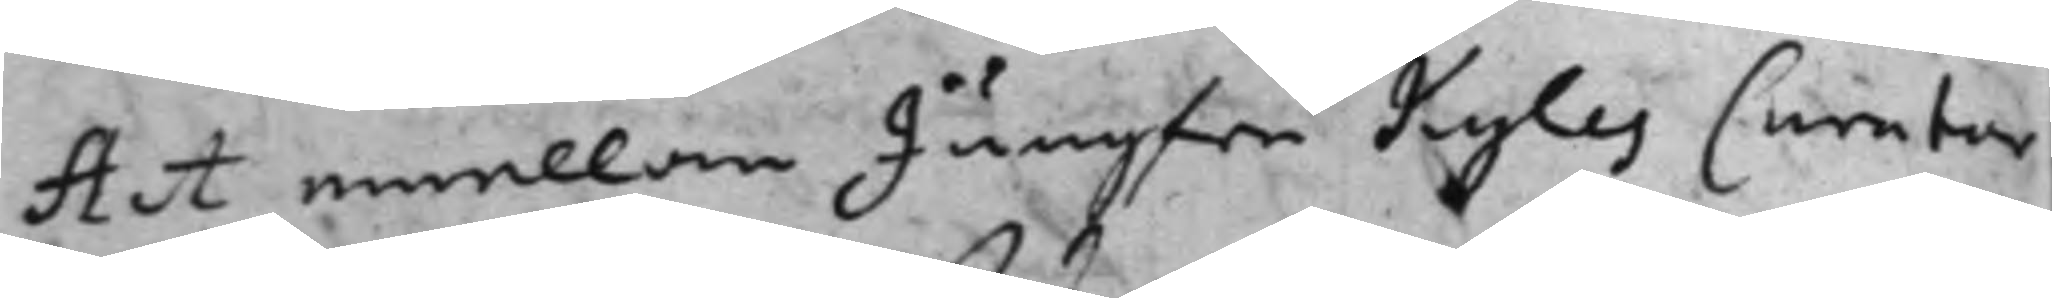Act emellan Jungfru Kyles Curator
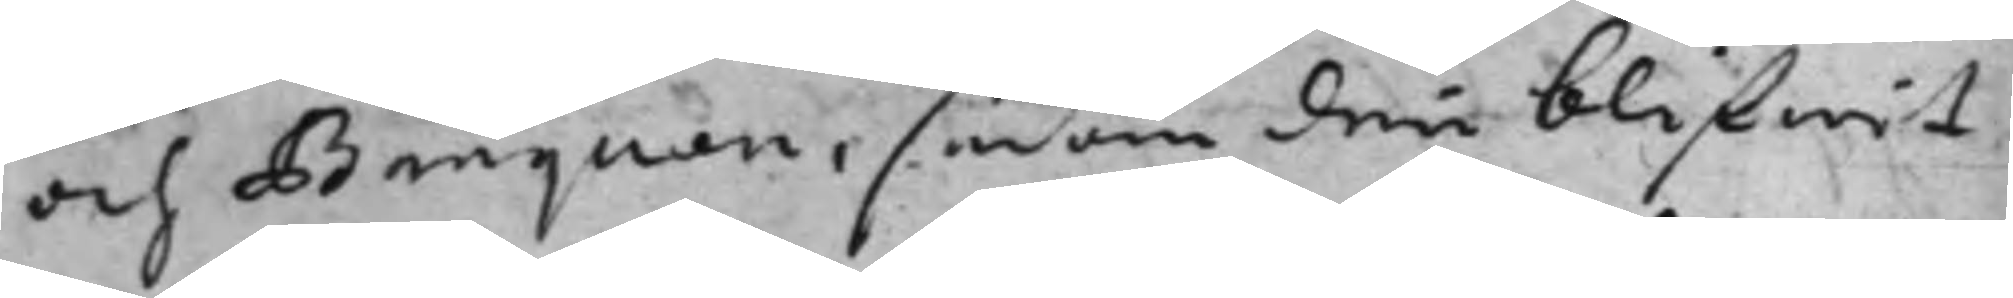och Banquen, sedan den blifwit
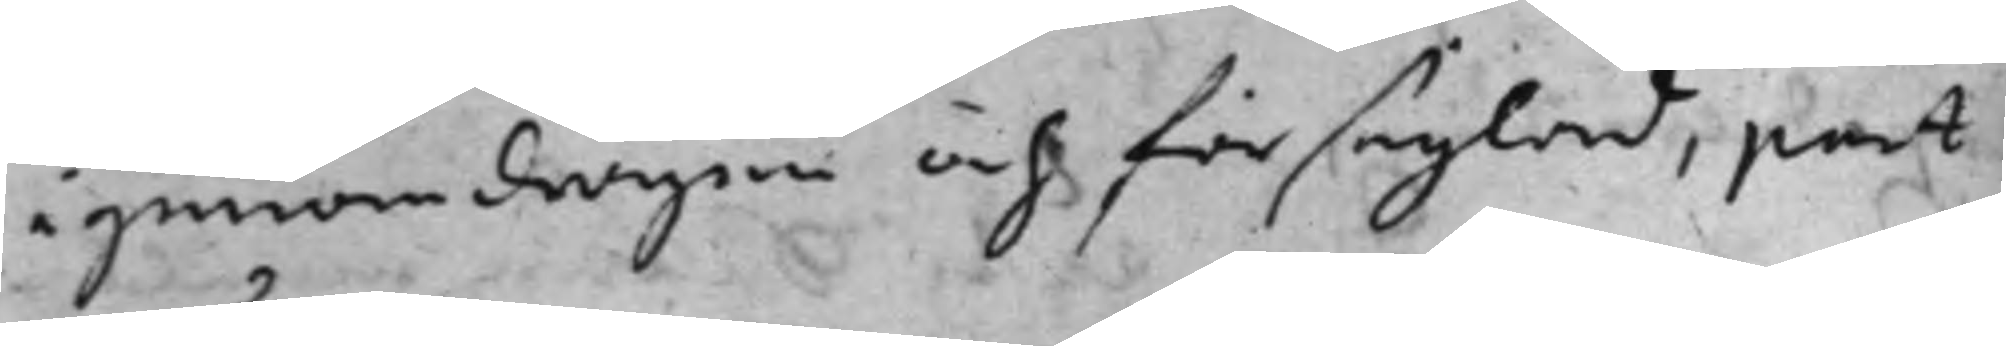igenomdragen och förseglad, part
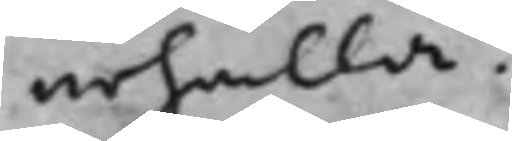erhålla.
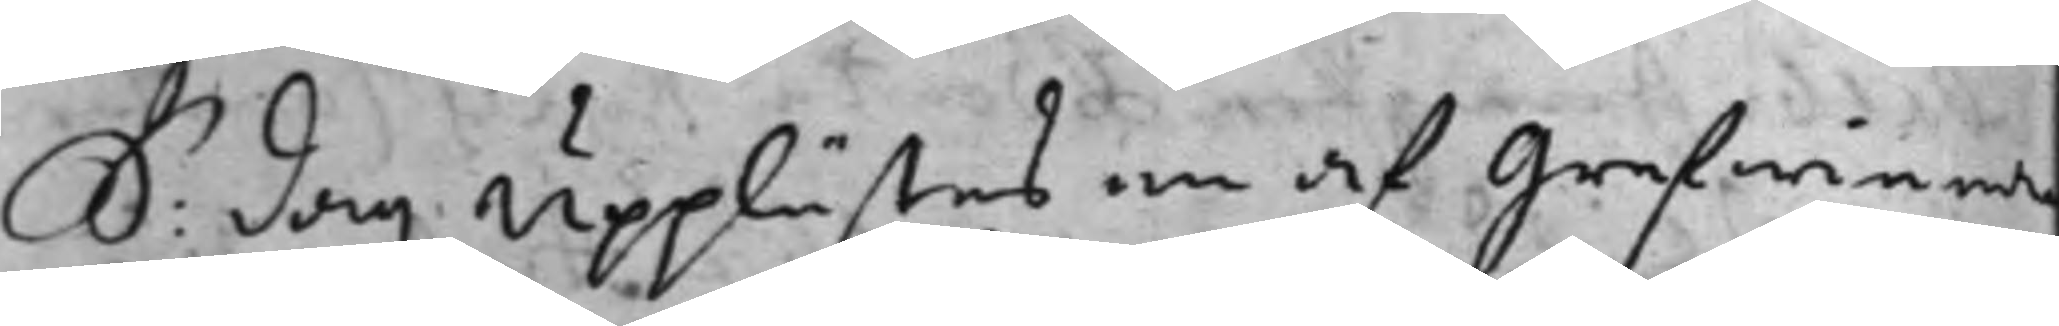S: dag upplästes en af Grefwinna
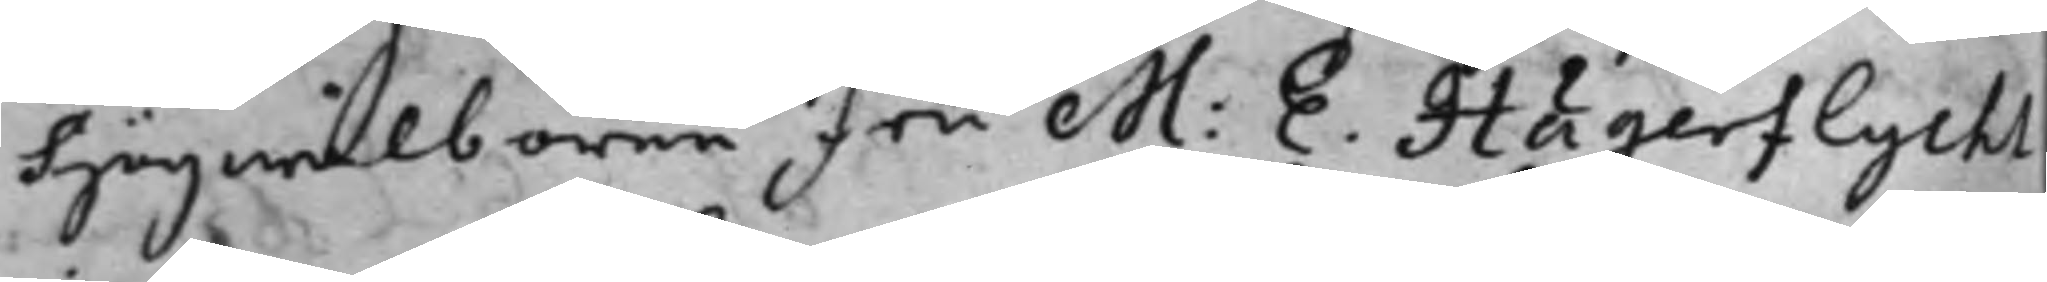högwälborne fru M: E. Hägerflycht
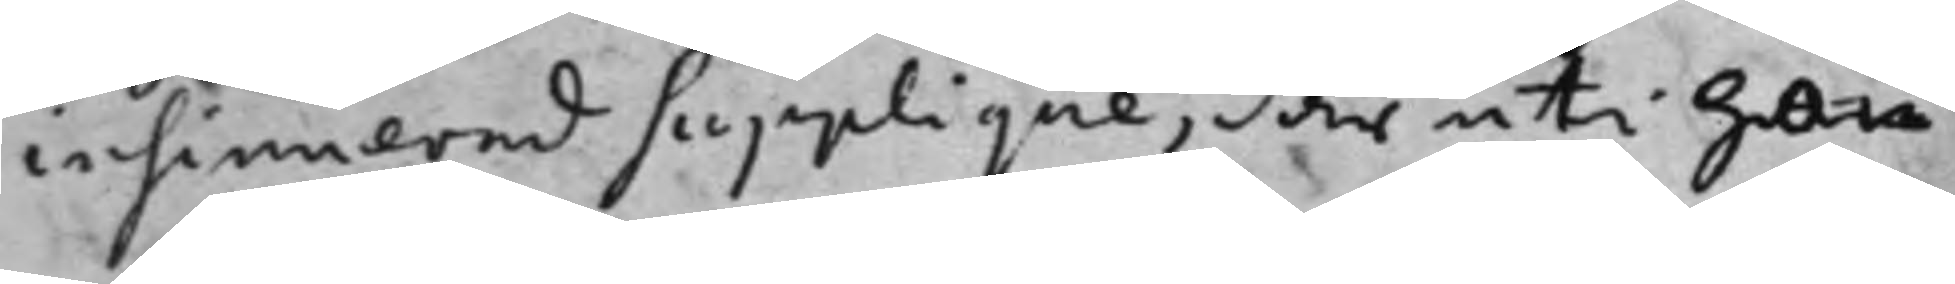insinuerad supplique, där uti hon
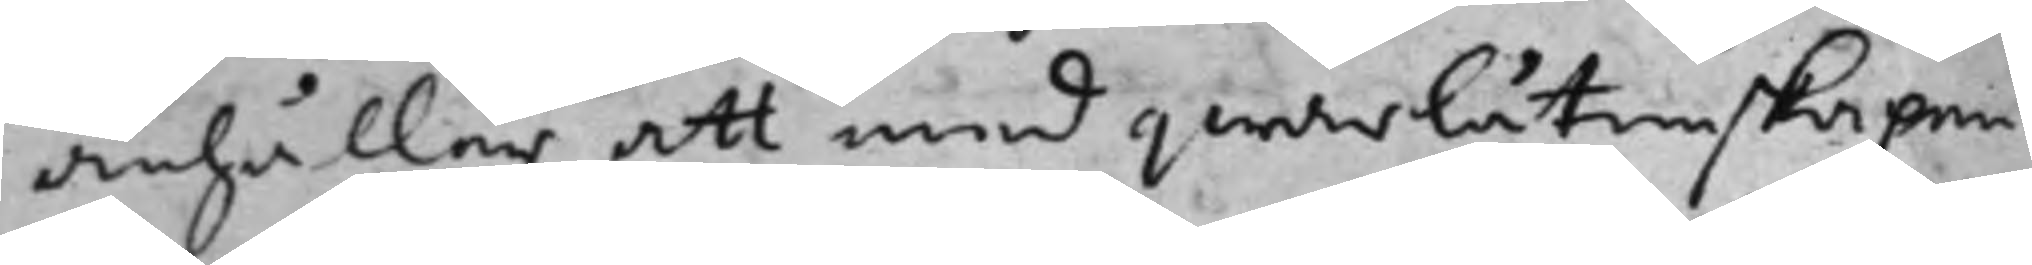anhåller att med qwarlåtenskapen
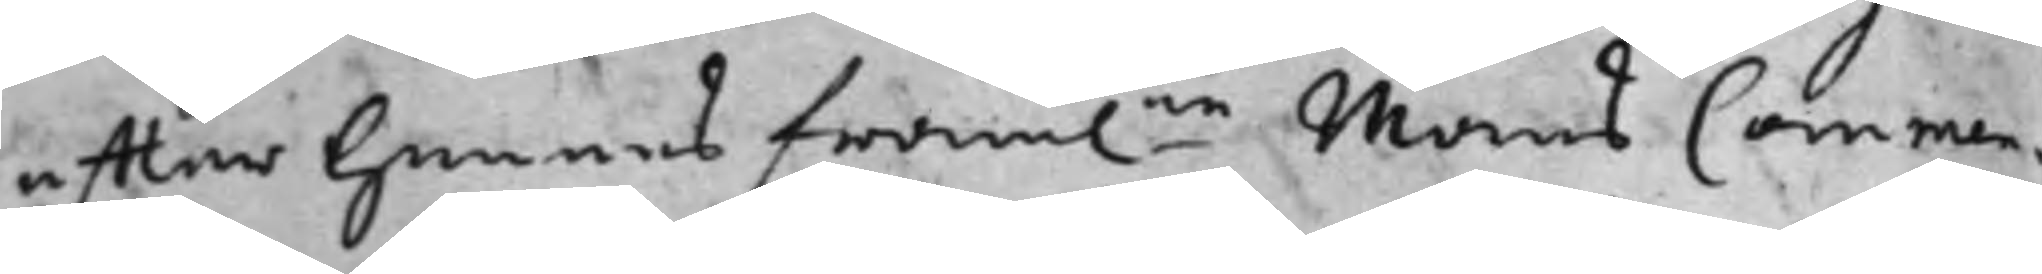efter hennes fram.ne mans Commen¬
